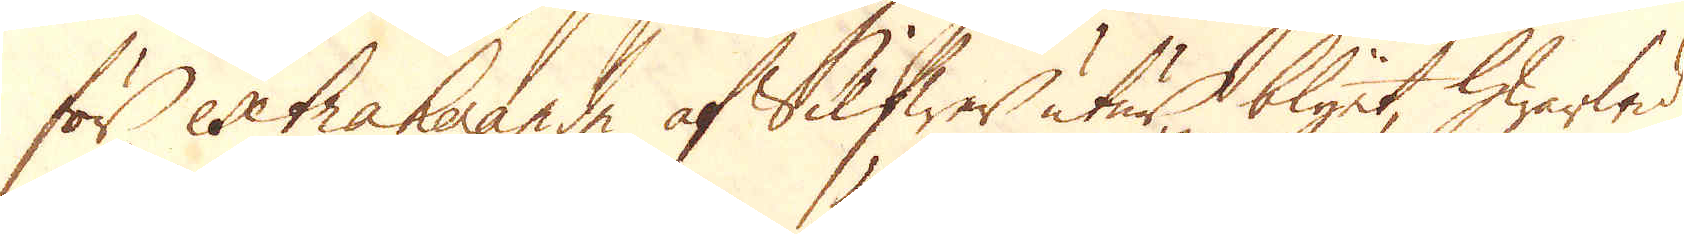för extraherande af Silfwer utur blyet, hwarwid
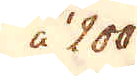à 200
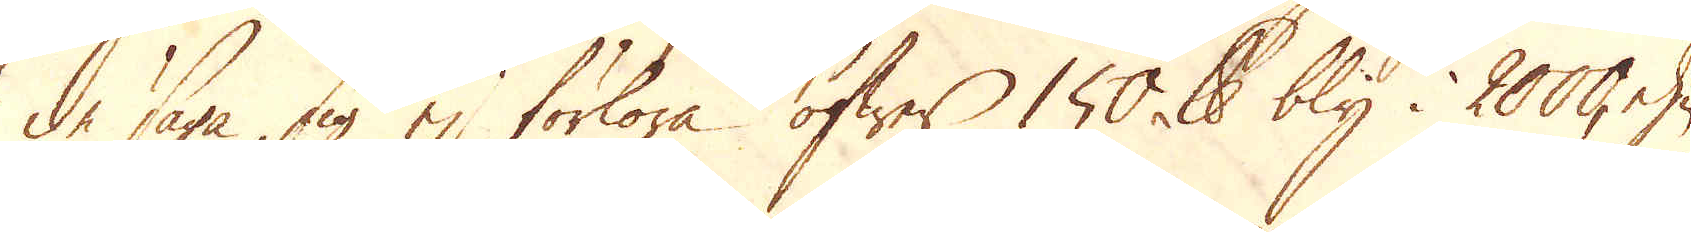de säga sig ej förlora öfwer 150 skålpund bly i 2000, ehu-
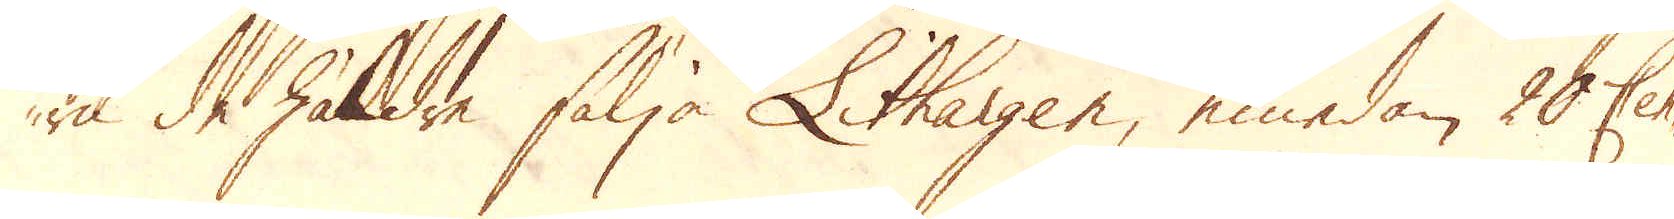ru de häldre sälja Lithargen, emedan 20 Cen-
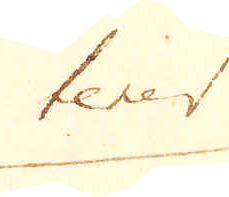tener
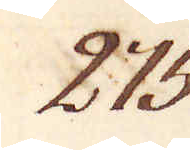273.
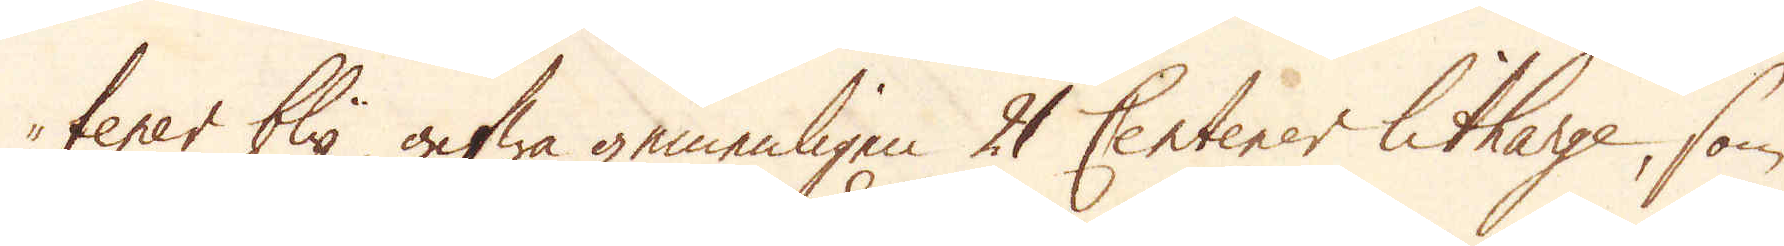tener bly gifwa gemenligen 21 Centener litharge, som
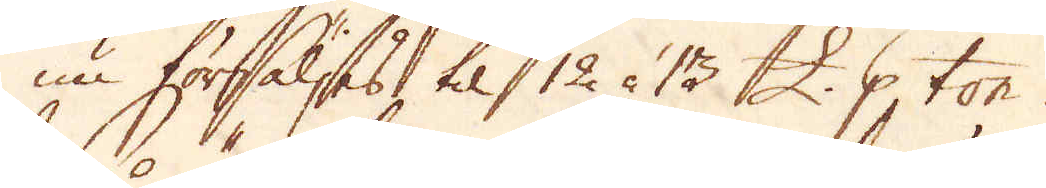nu försäljes, til 12 à 13 £. p ton.
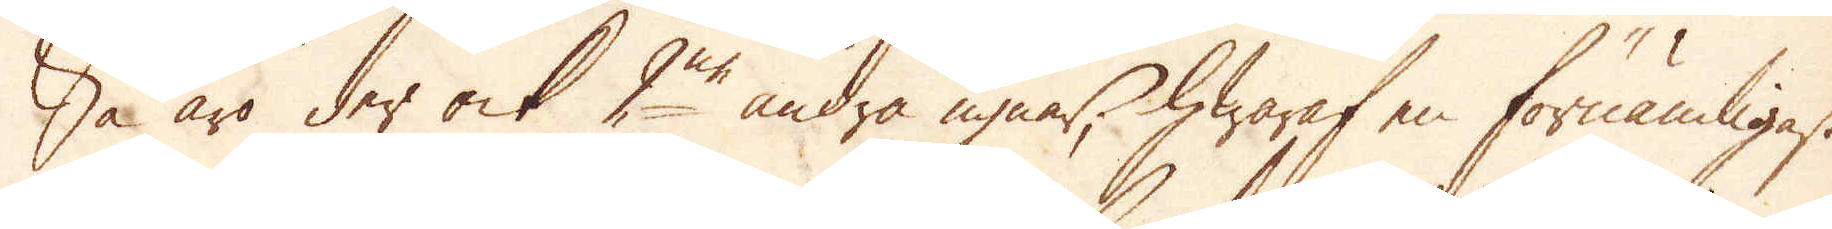Så äro der ock 2ne andra ugnar, hwaraf en förnämligast
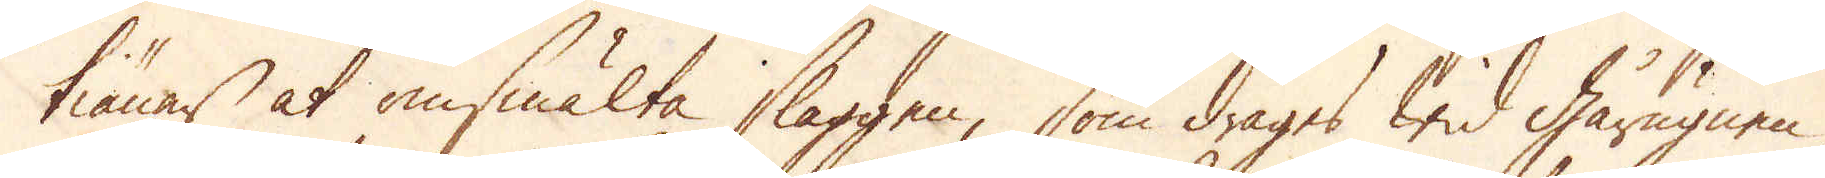tiänar at omsmälta slaggen, som drages wid gårugnen
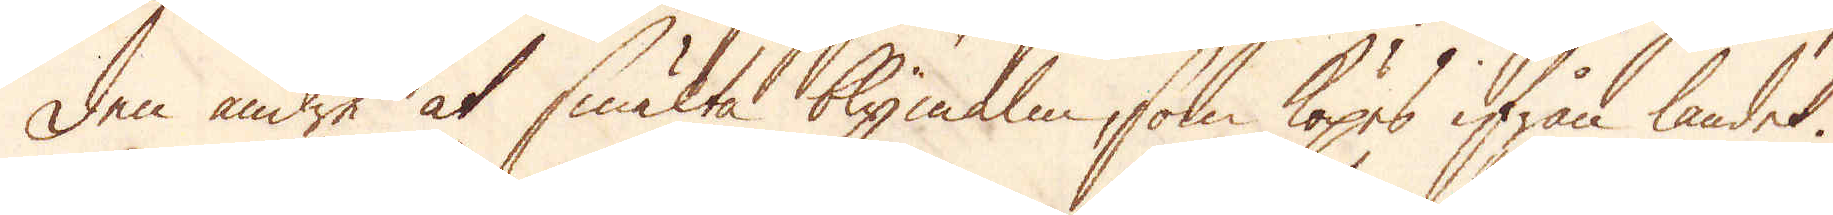den andre at smälta blymalm, som köpes ifrån landet.
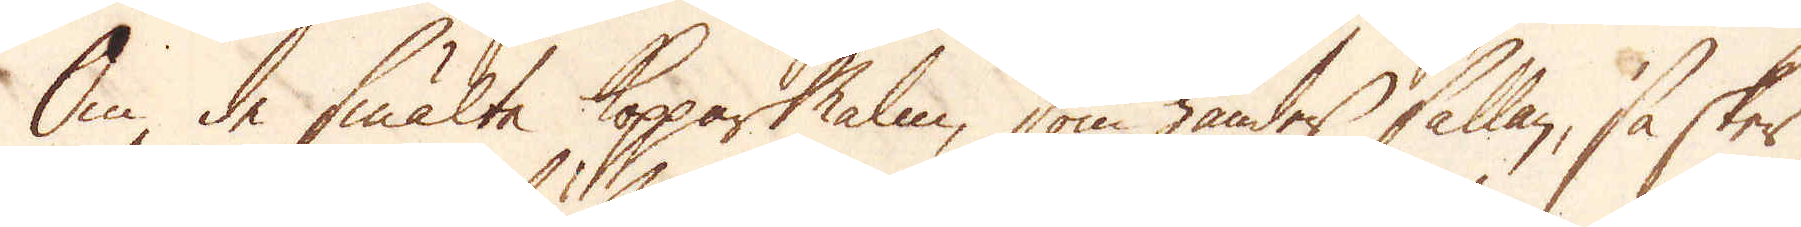Om de smälte Kopparmalm, som händer sällan, så sker
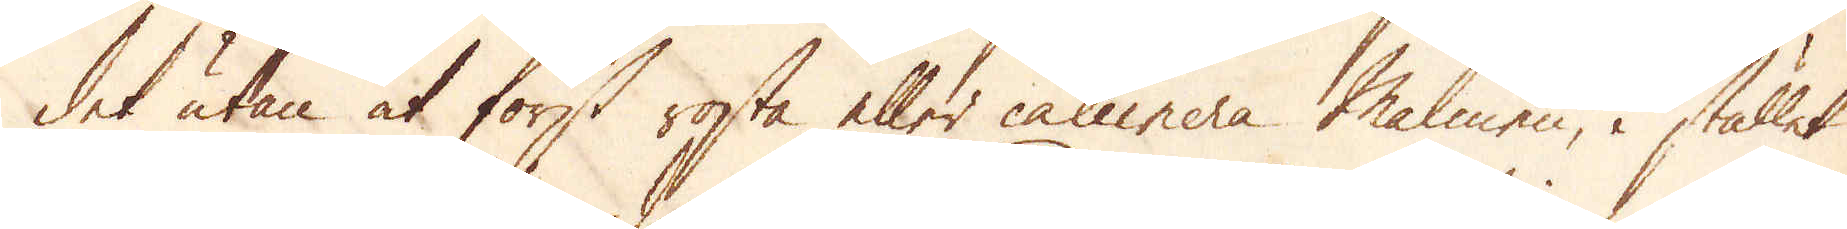det utan at först rosta eller calcinera Malmen, i stället
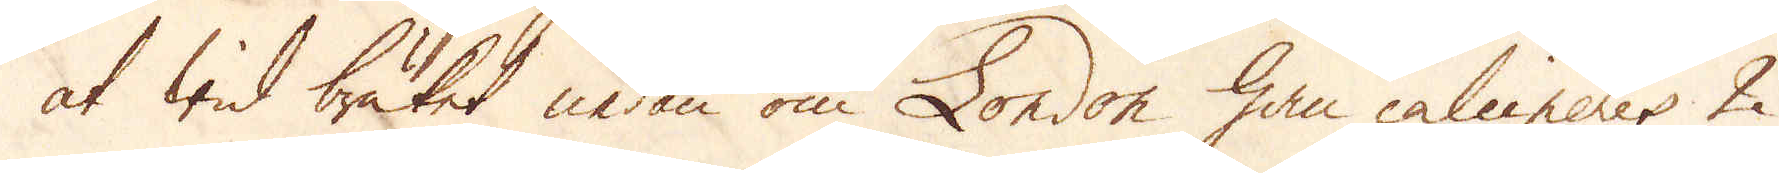at wid bruket nedan om London han calcineres 2
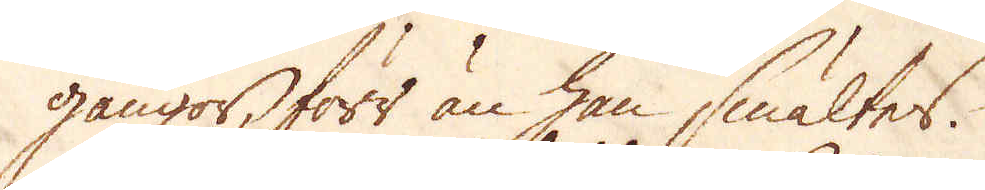gångor, förr än han smältes.
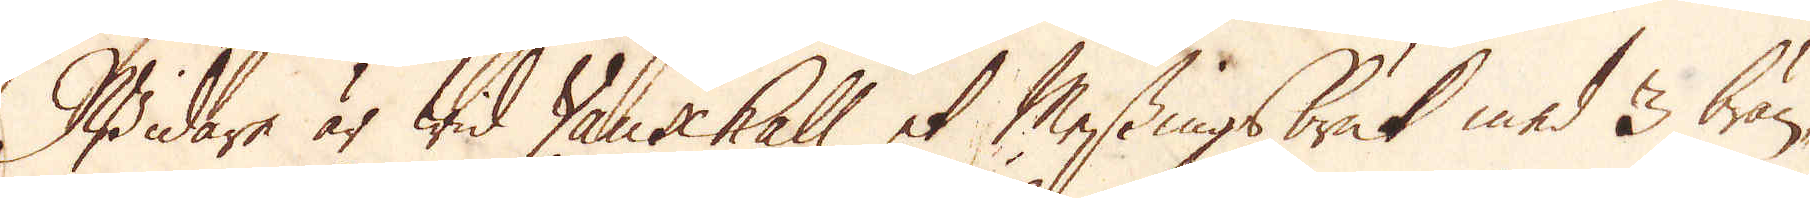Widare är wid Vauxhall et Messingsbruk med 3 brän-
